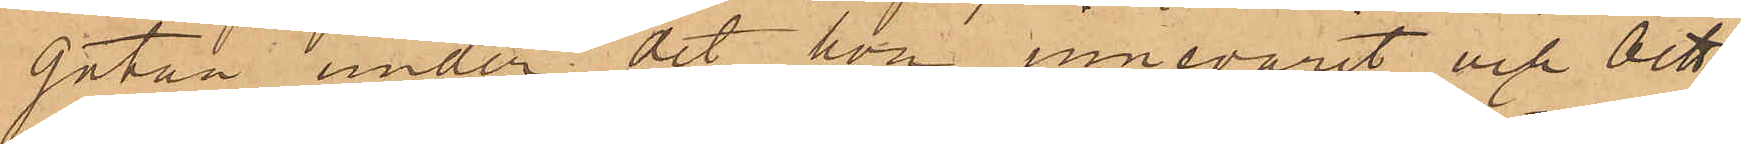gatan under det hon innevarit och bett¬
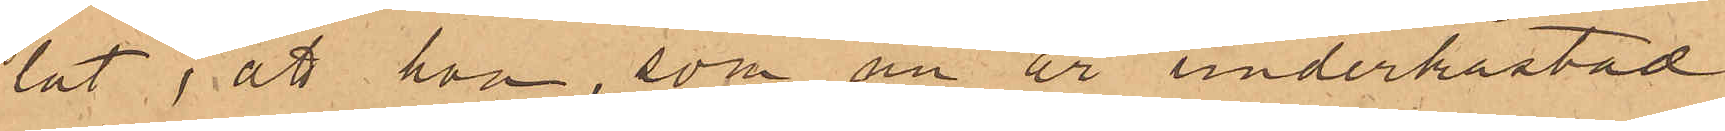lat; att hon, som nu är underkastad
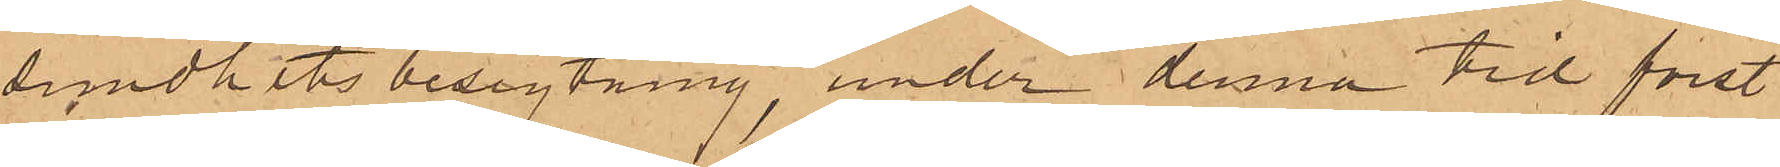sundhets besigtning, under denna tid först
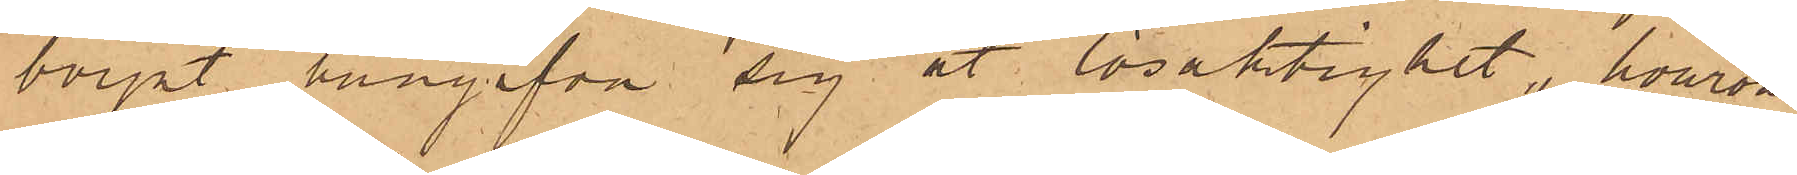börjat hängifva sig åt lösaktighet, hvarom
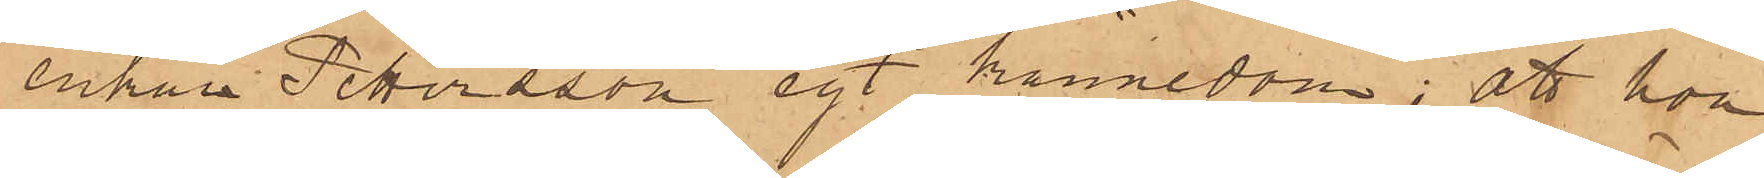enkan Petersson egt kännedom; att hon
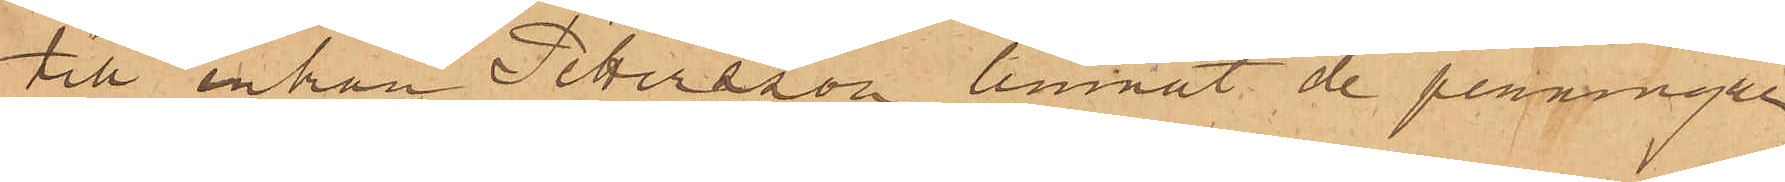till enkan Pettersson lemnat de penningar
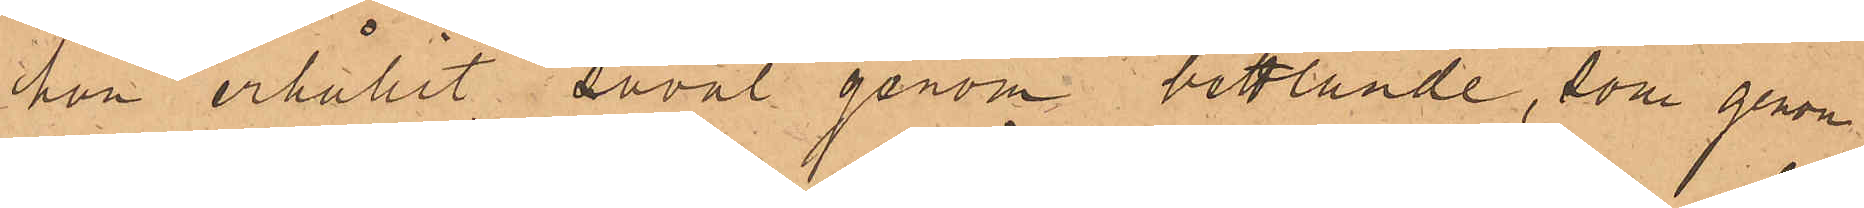hon erhållit såväl genom bettlande, som genom
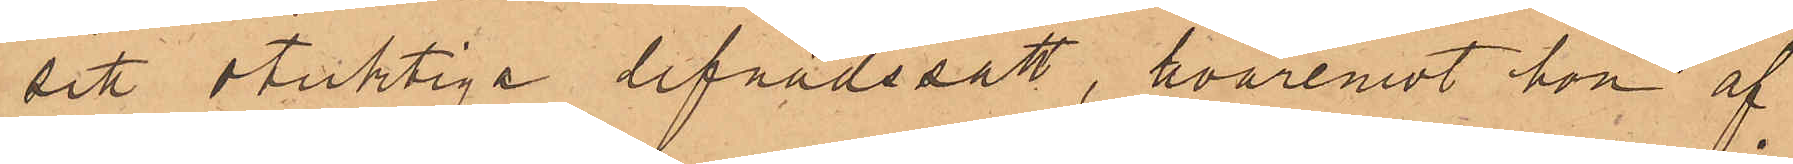sitt otuktiga lefnadssätt, hvaremot hon af
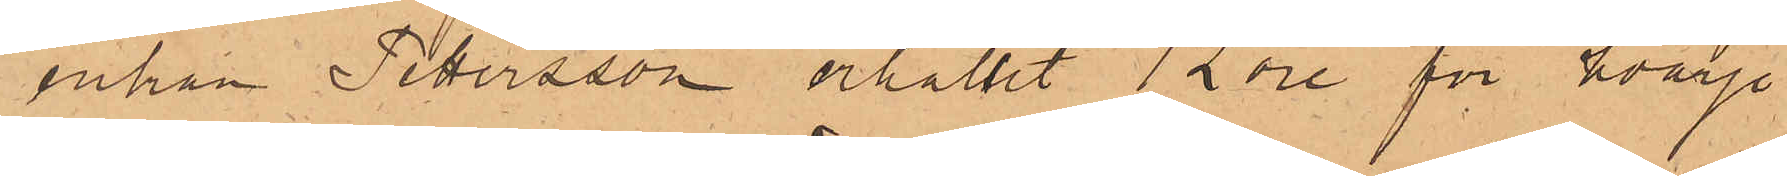enkan Petersson erhållit 12 öre för hvarje
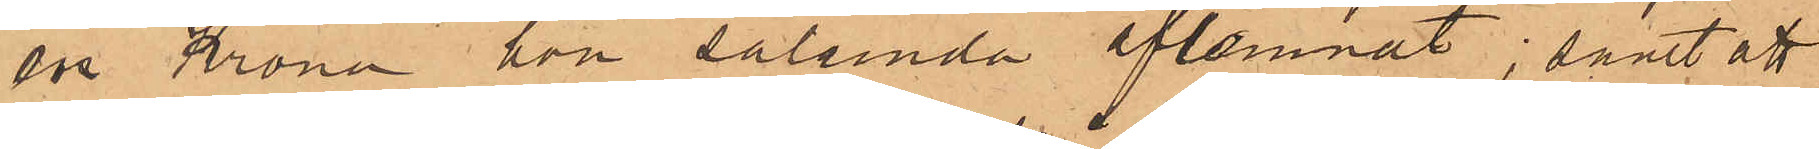en Krona hon sålunda aflemnat; samt att
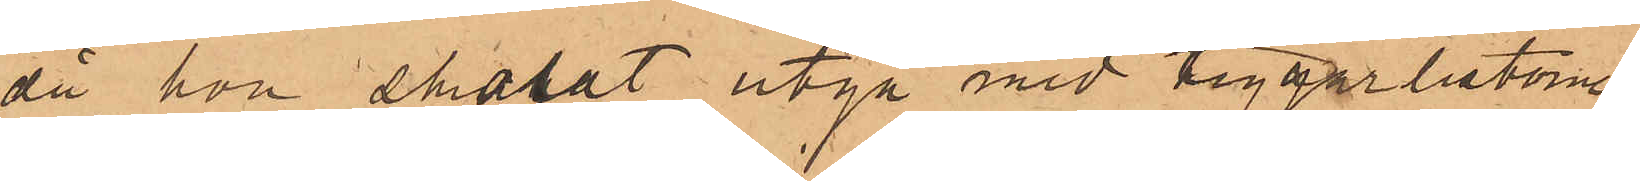då hon brukat utgå med tiggarlistorne,
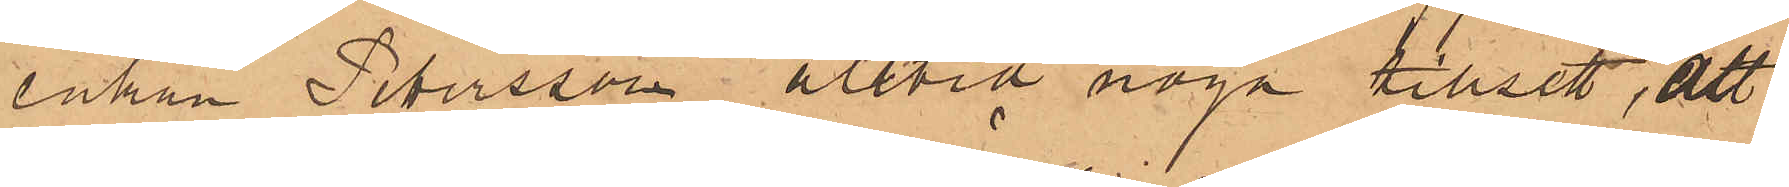enkan Petersson alltid noga tillsett, att
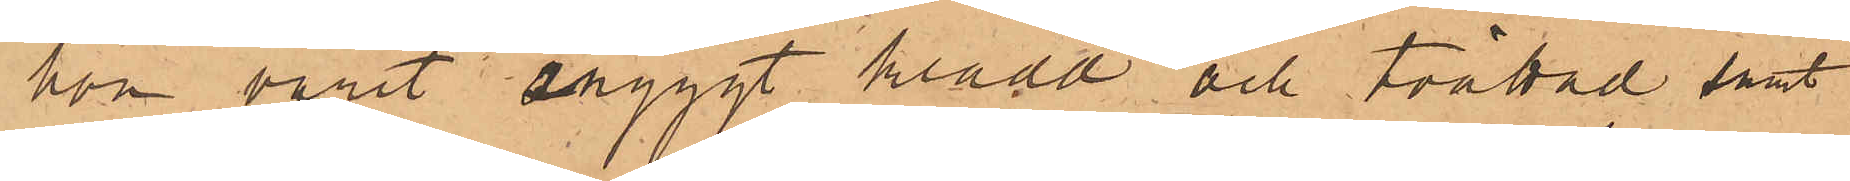hon varit snyggt klädd och tvättad samt
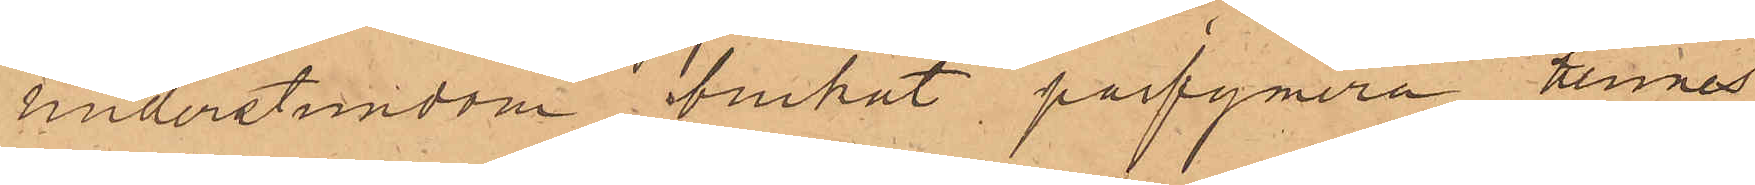understundom brukat parfymera hennes
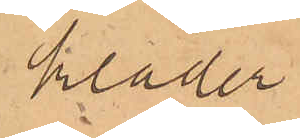kläder,
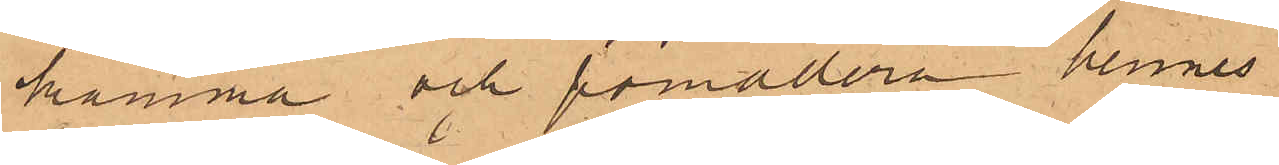kamma och pomadera hennes
